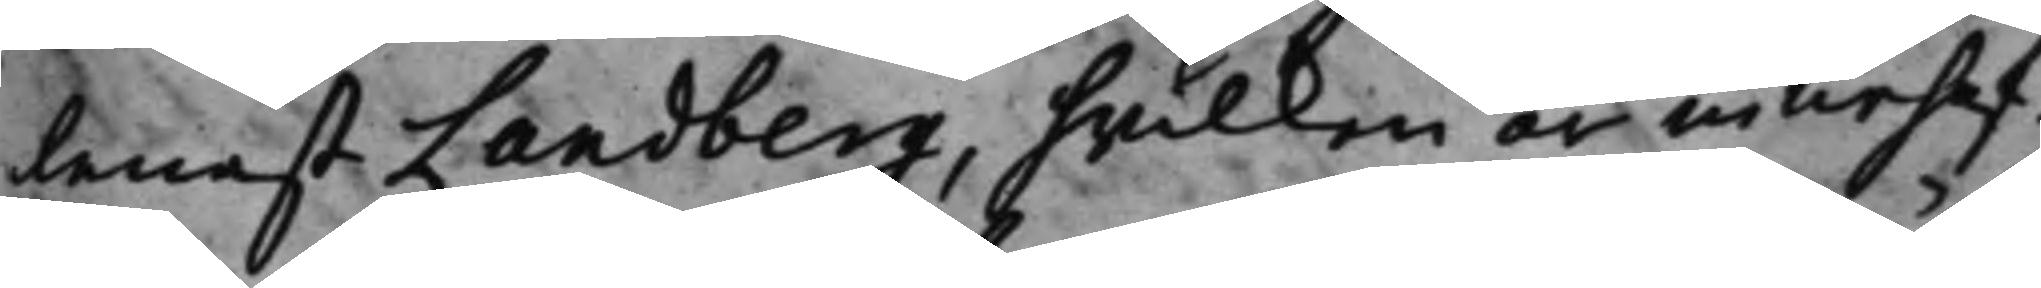lenast Landberg hvilken är innehaf¬
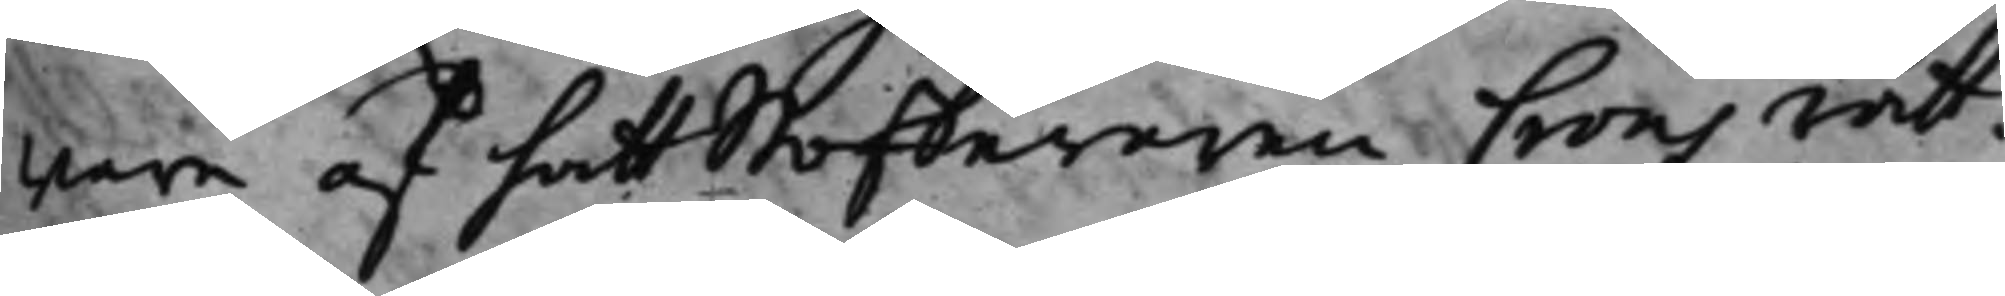ware af hattstofferaren Crons rätt.
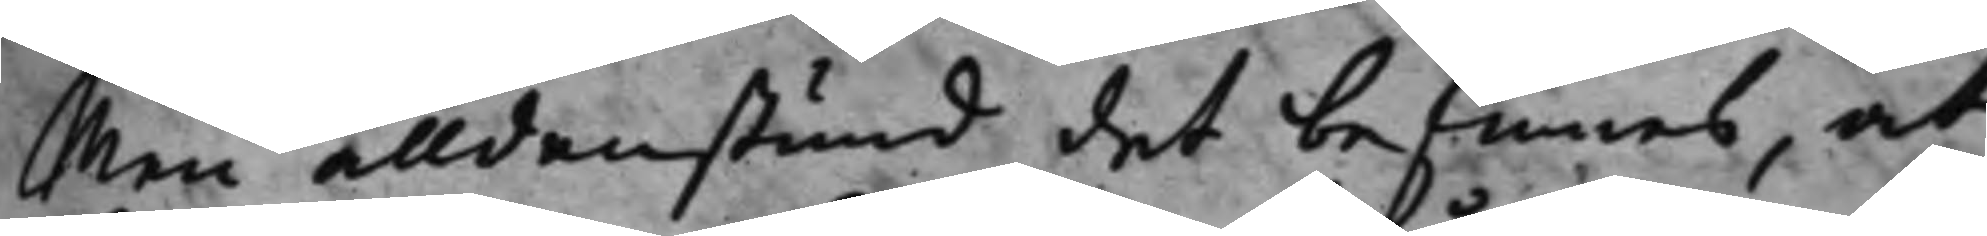Men alldenstund det befinnes, at
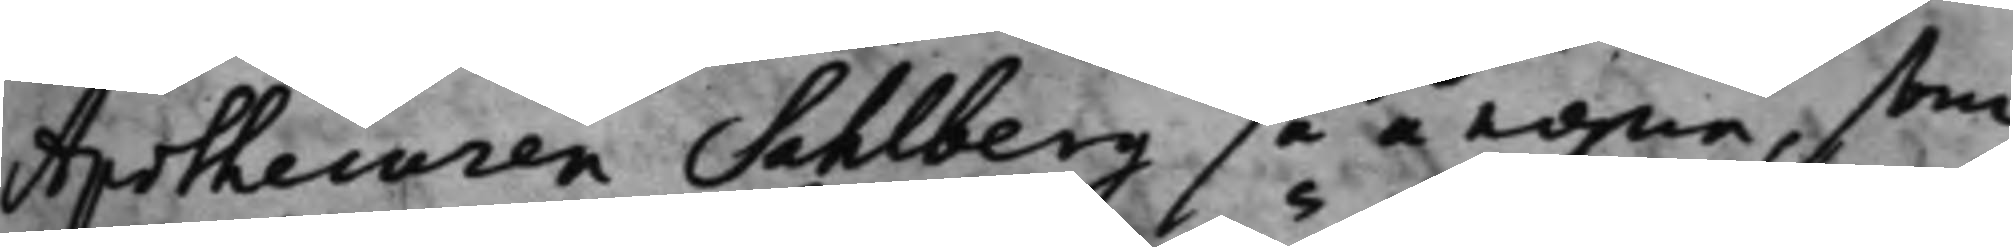Apothecaren Sahlberg så å egna, som
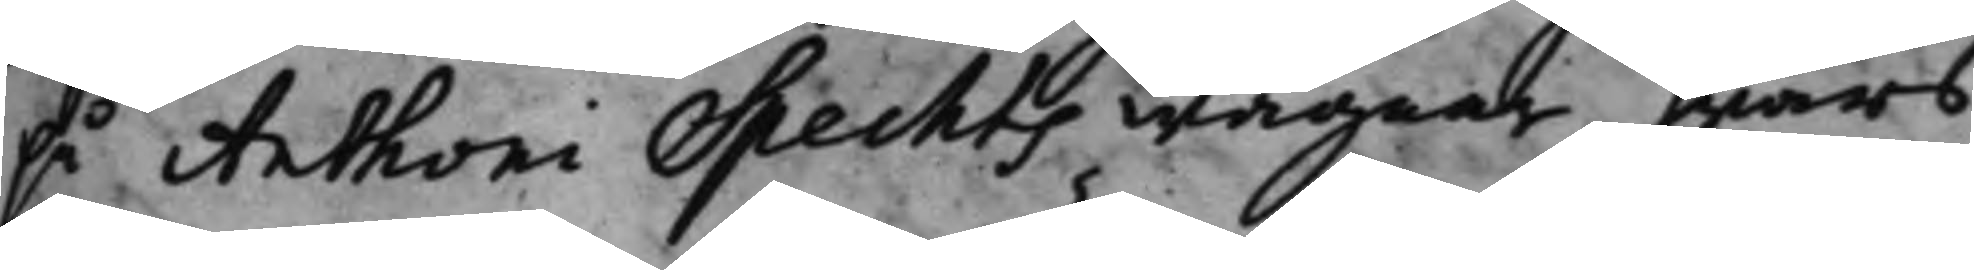på Anthoni Spechts wägnar, hwars
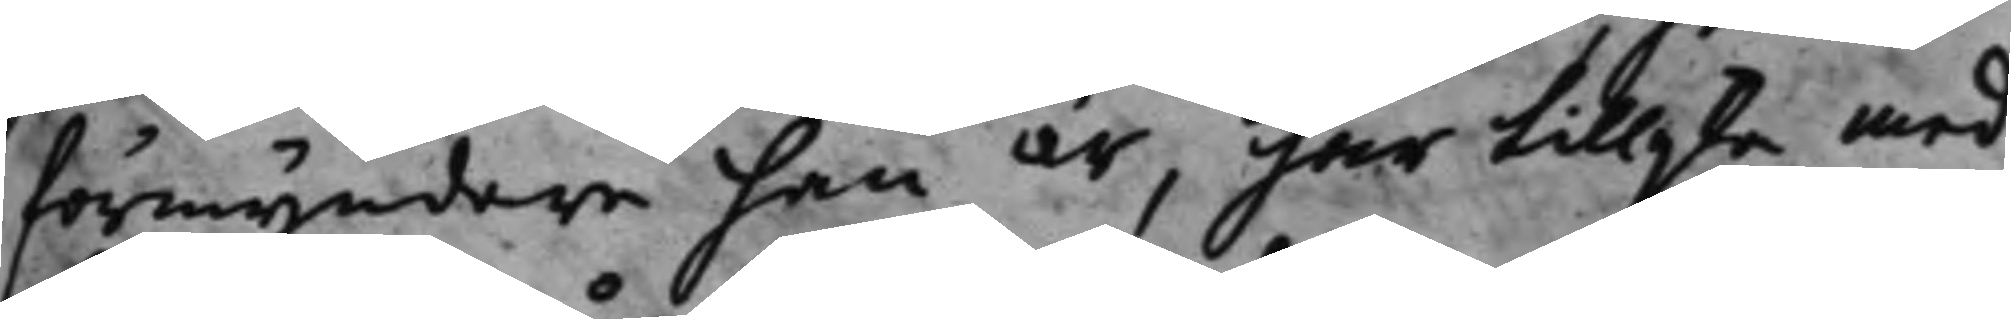förmyndare han är, har tillijka med
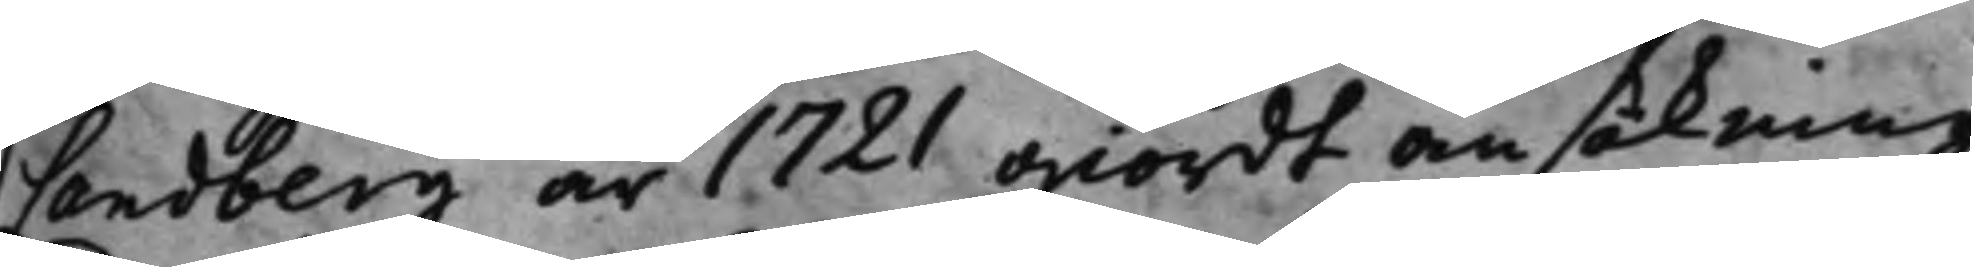Landberg år 1721 giordt ansökning
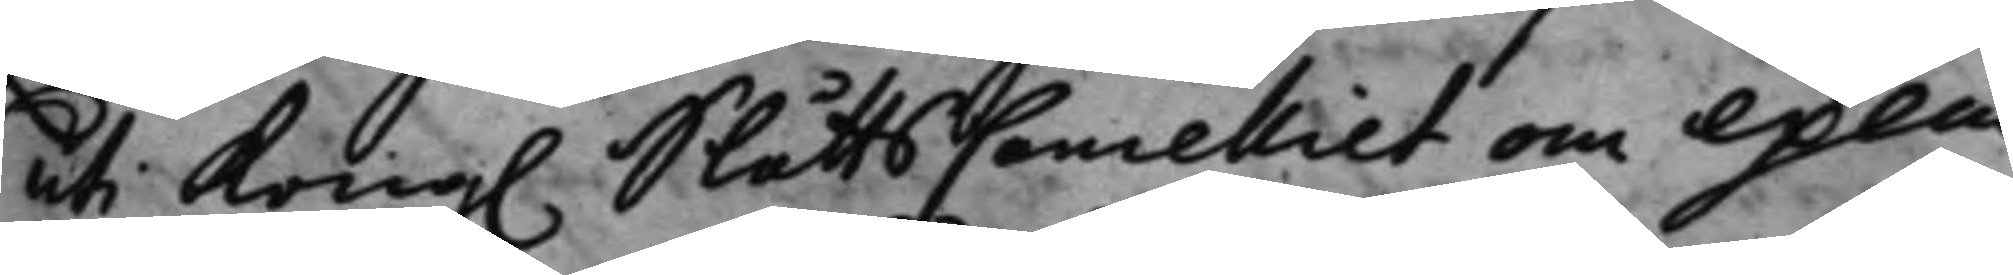uti Kong. SlåttsCancelliet om execu¬
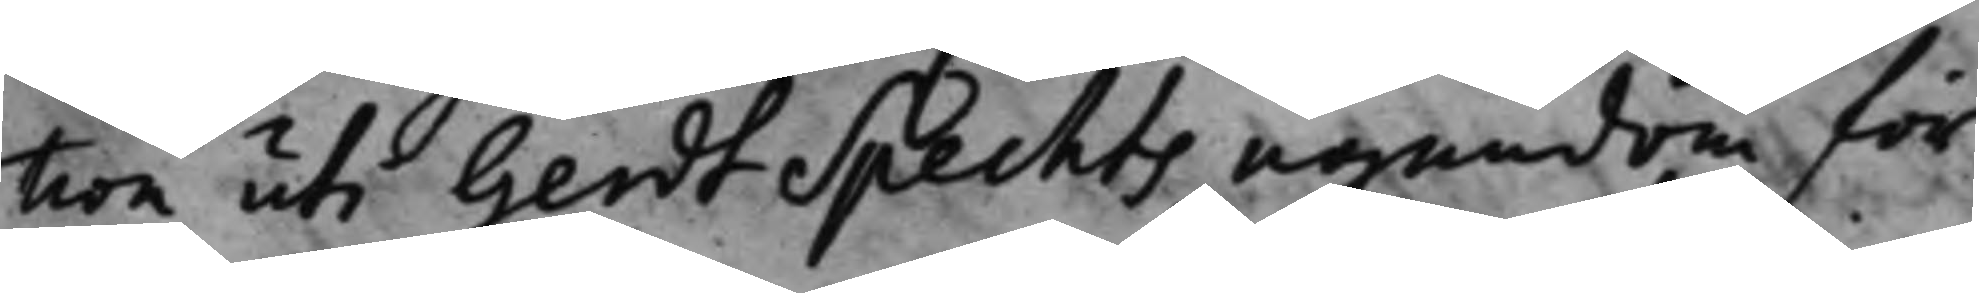tion uti Gerdt Spechts egendom för
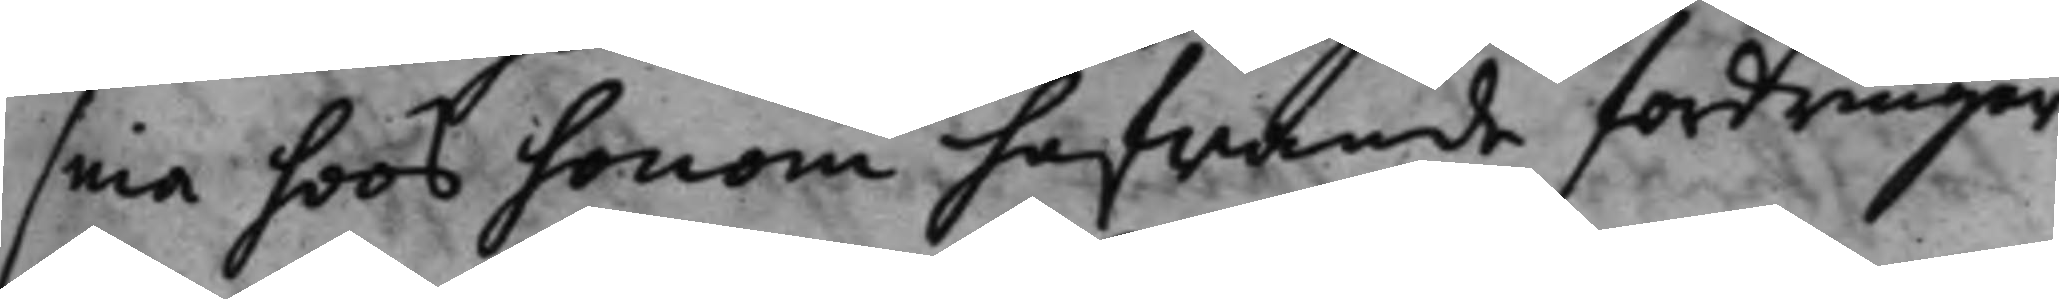sina hoos honom hafwande fordringar
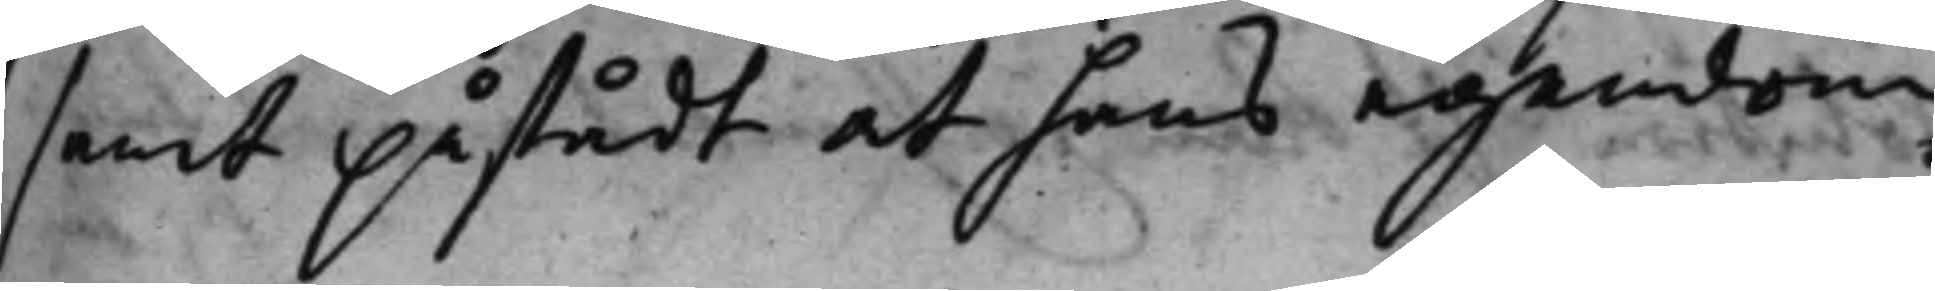samt påstådt att hans egendom
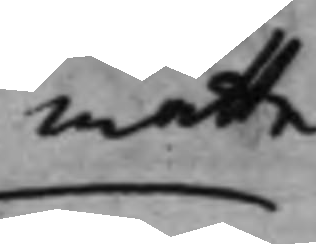måtte
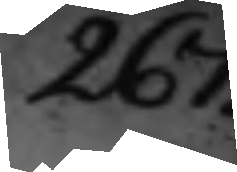267.
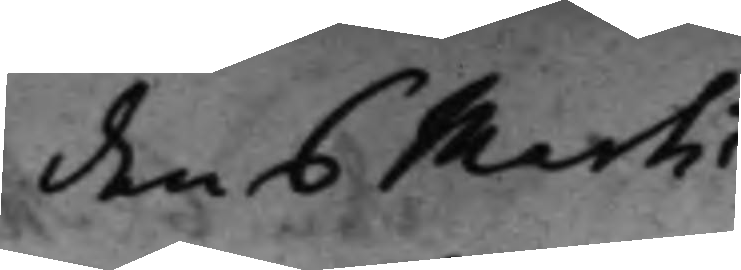den 6 Martii
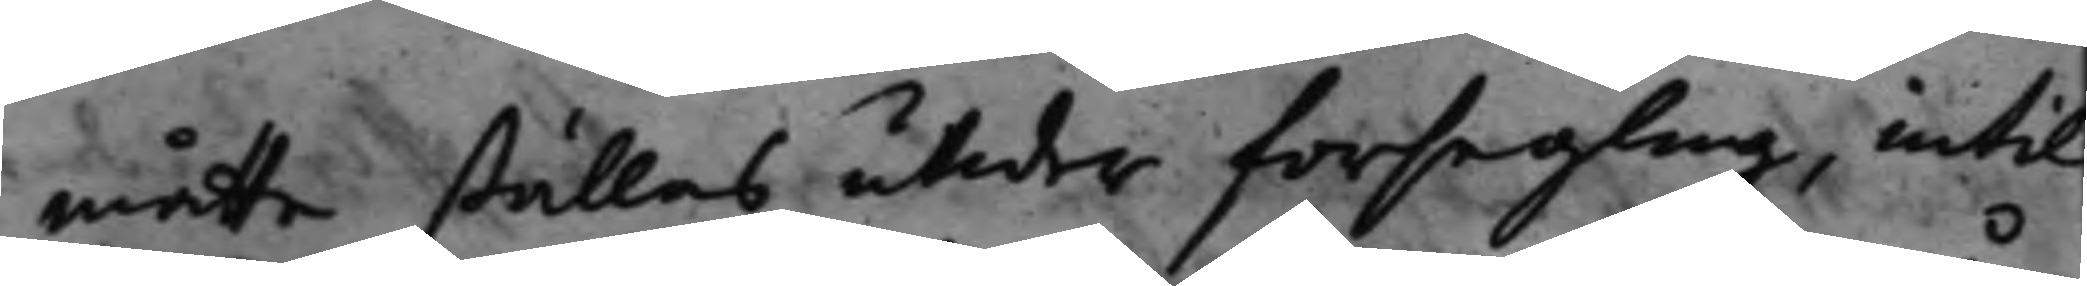måtte ställas utder försegling, intil
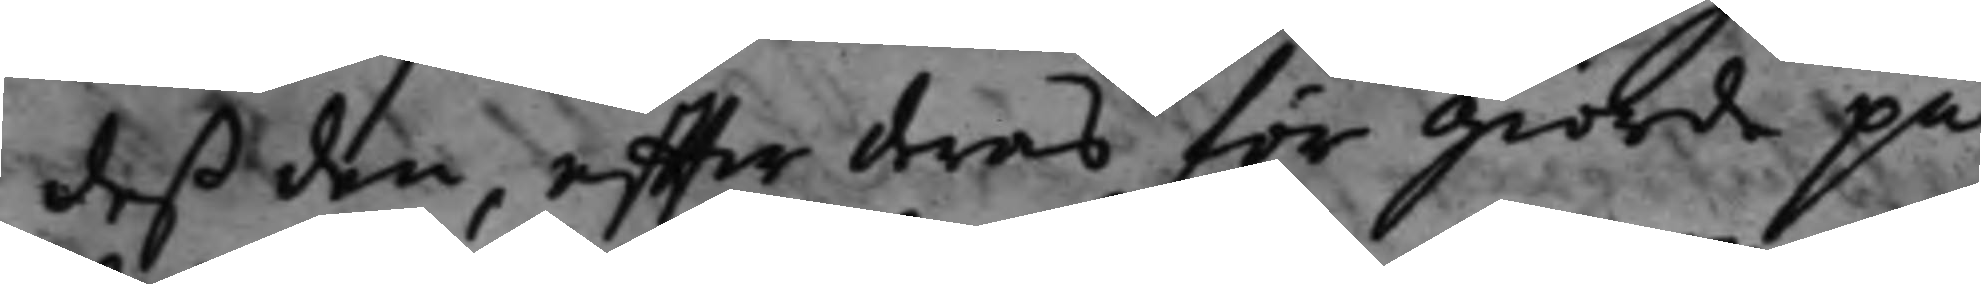deß den, effter deras för giorde på¬
